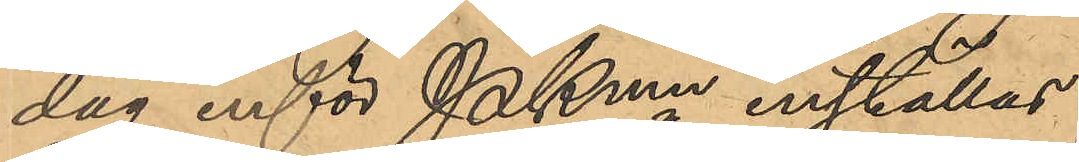dag inför Pkmn inställas.
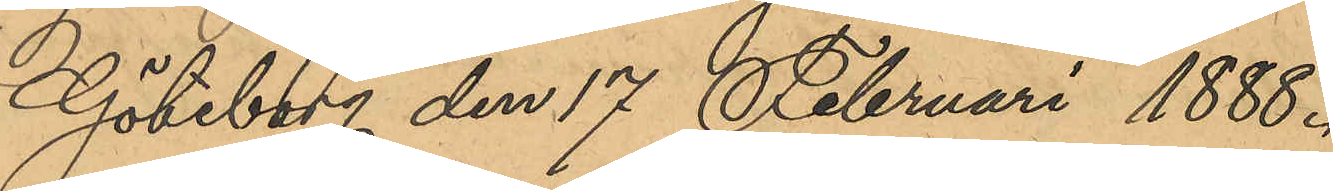Göteborg den 17 Februari 1888.
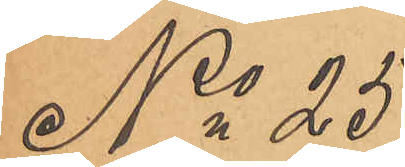No 25
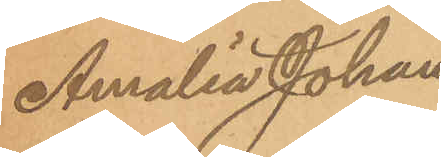Amalia Johans¬
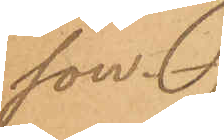son.
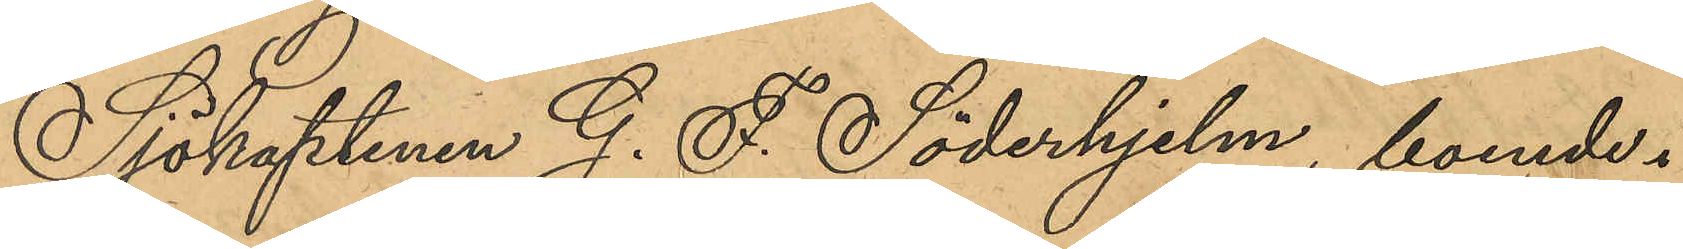Sjökaptenen G. F. Söderhjelm, boende i
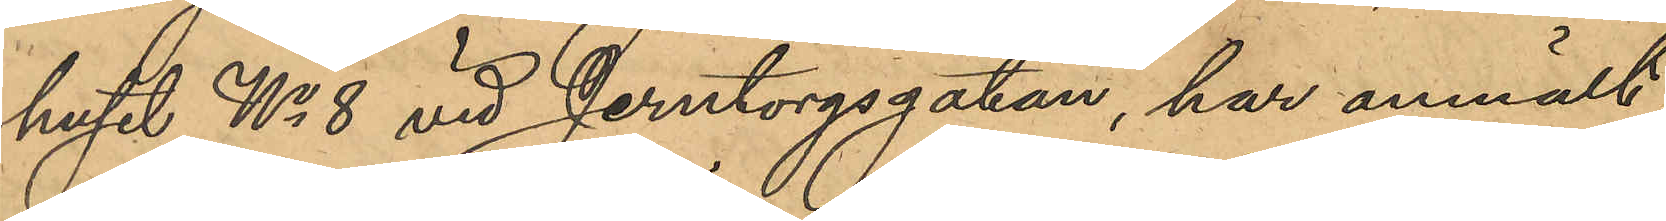huset No 8 vid Jerntorgsgatan, har anmält,
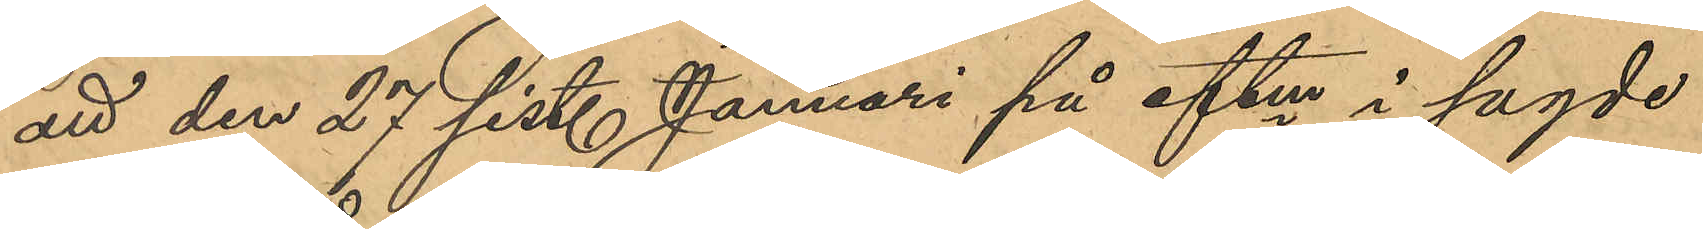att den 27 sist. Januari på eftm i sagde
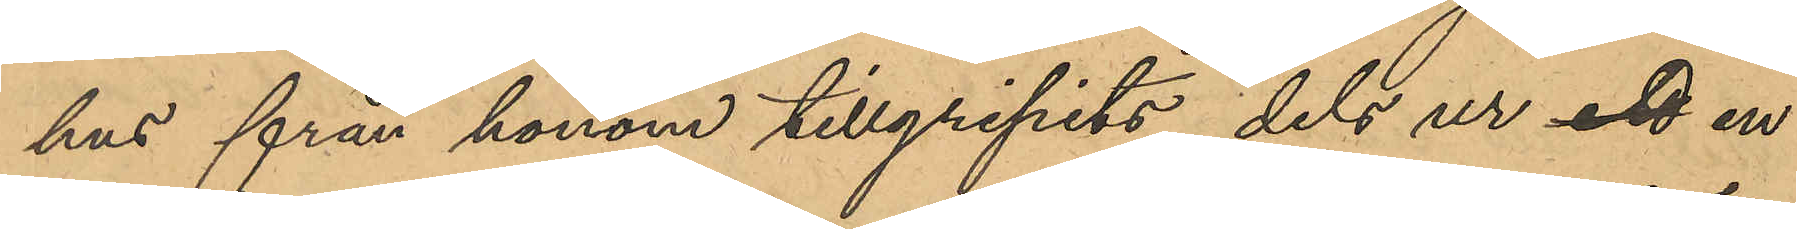hus från honom tillgripits, dels ur ett en
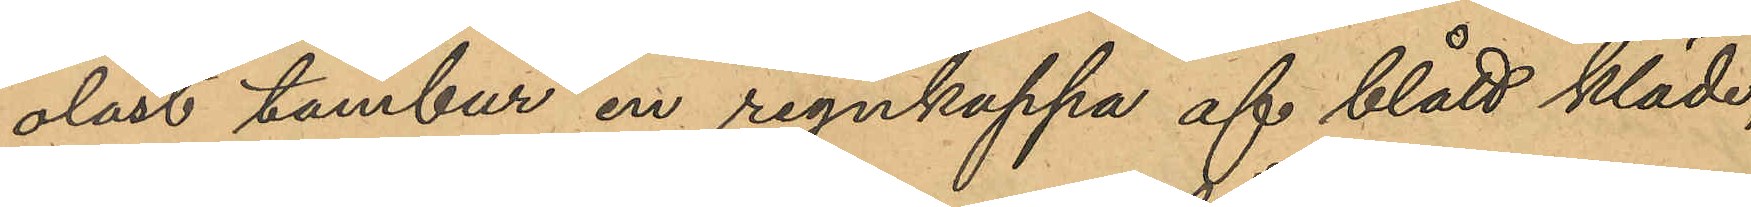olåst tambur en regnkappa af blått kläde,
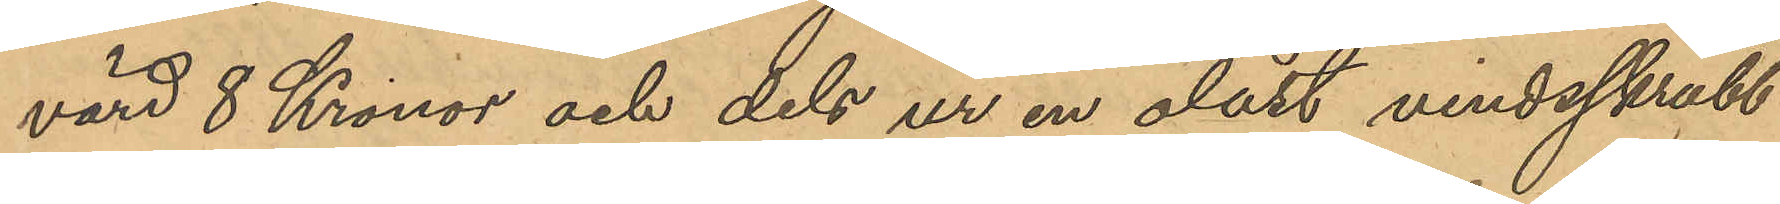värd 8 Kronor och dels ur en olåst vindsskrubb
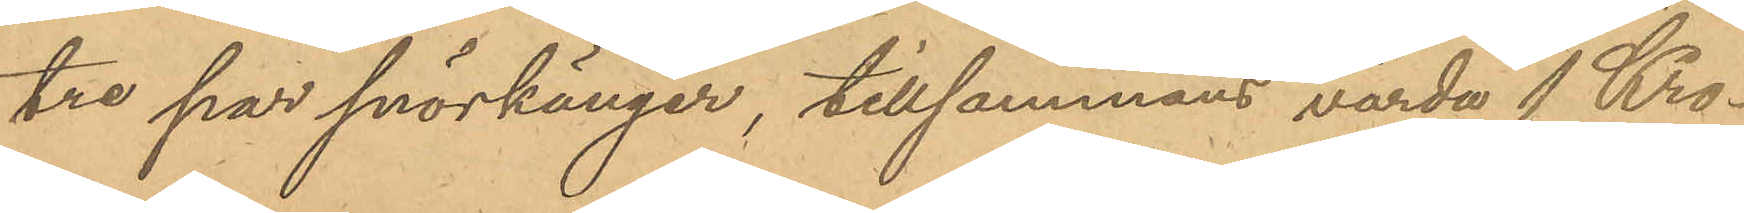tre par snörkänger, tillsammans värda 1 Kro¬
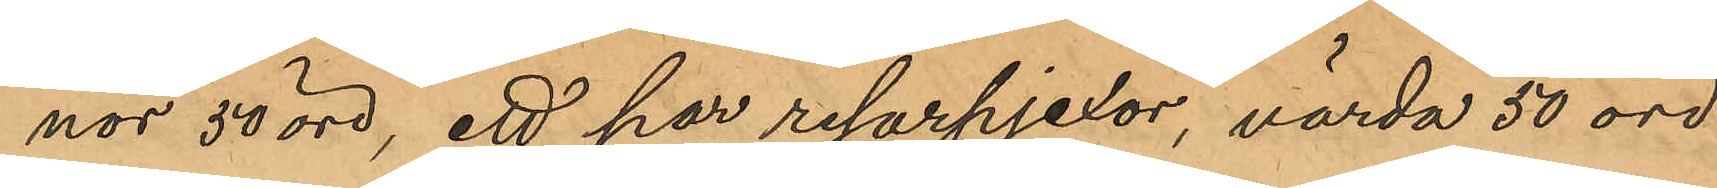nor 50 öre, ett par resorpjexor, värda 50 öre
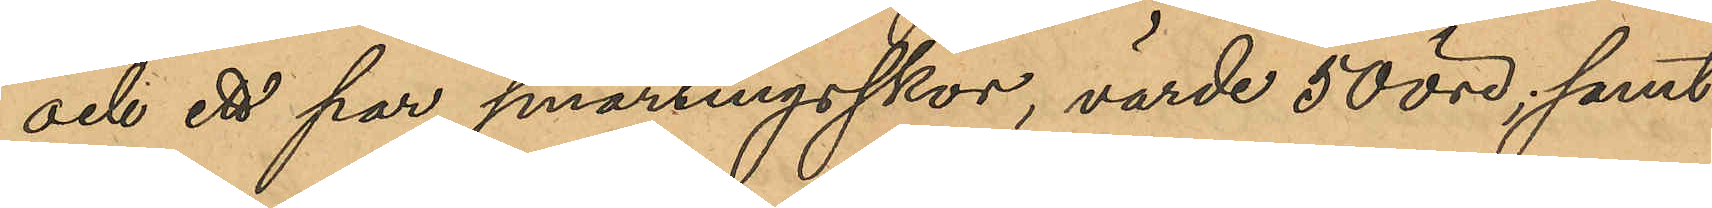och ett par smärtingsskor, värde 50 öre; samt
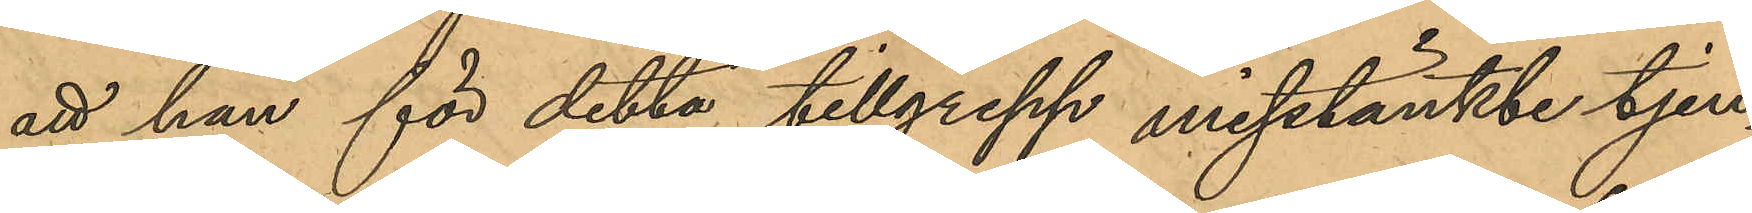att han för detta tillgrepp misstänkte tjen¬
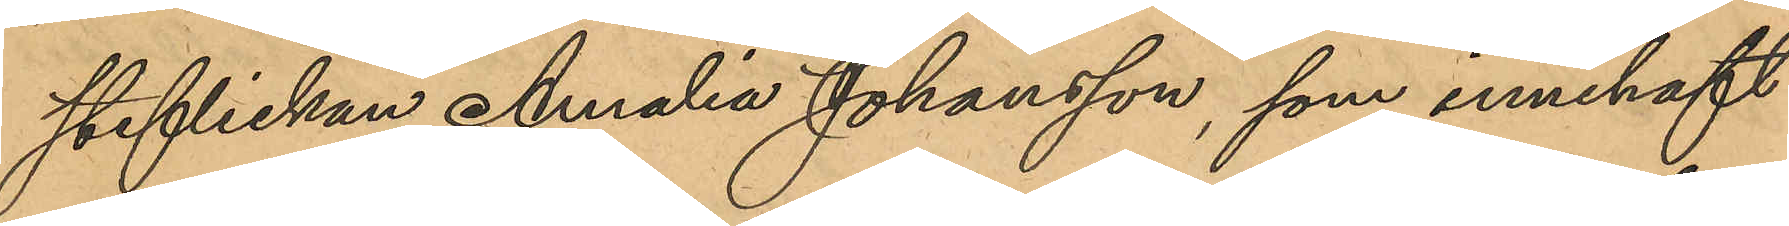steflickan Amalia Johansson, som innehaft
